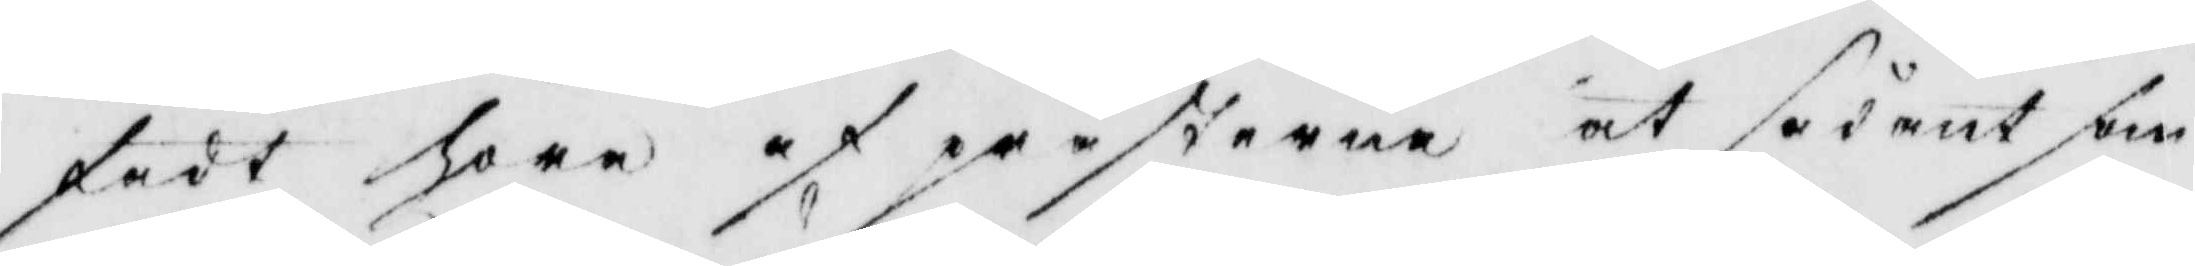fådt höra af prästerna at sådant som
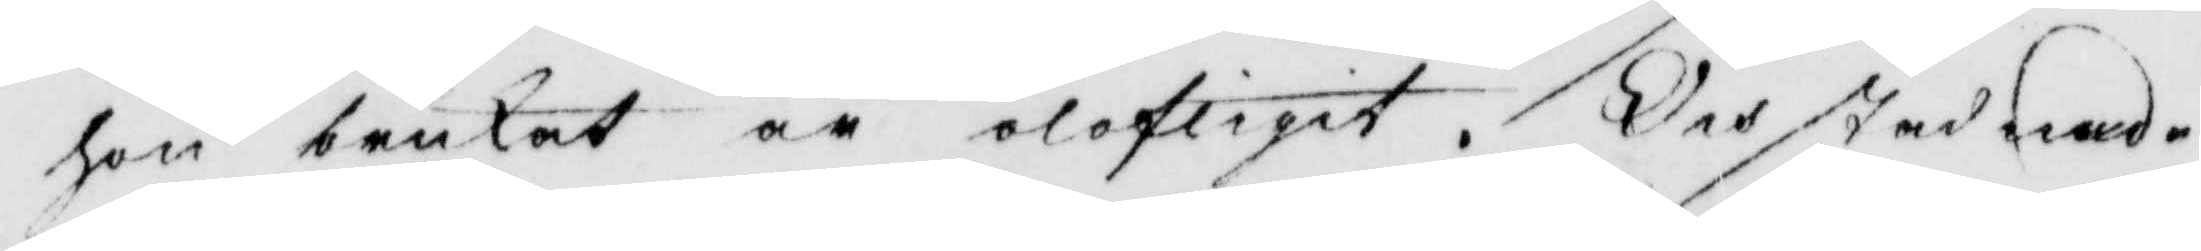hon brukat är olofligit. Och stadnade
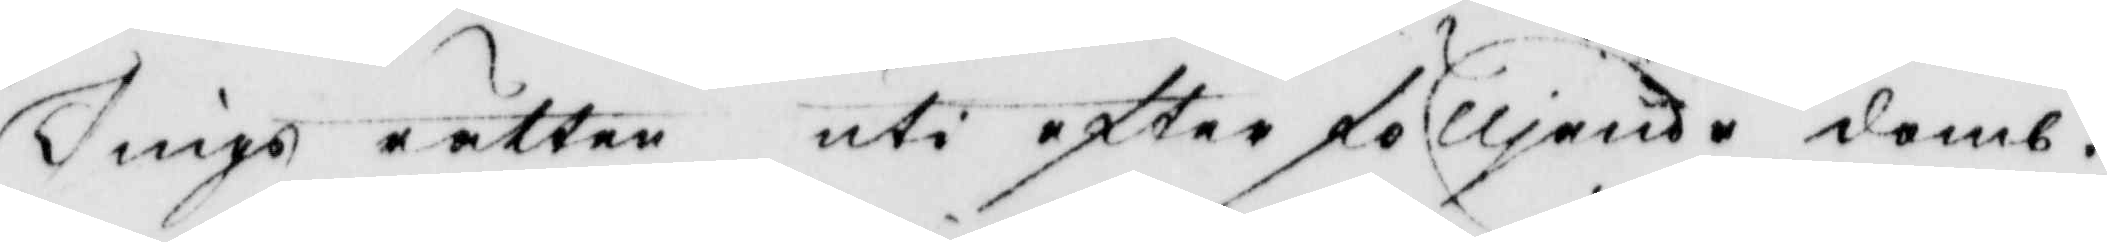Tings rätten uti efterfölljande domb.
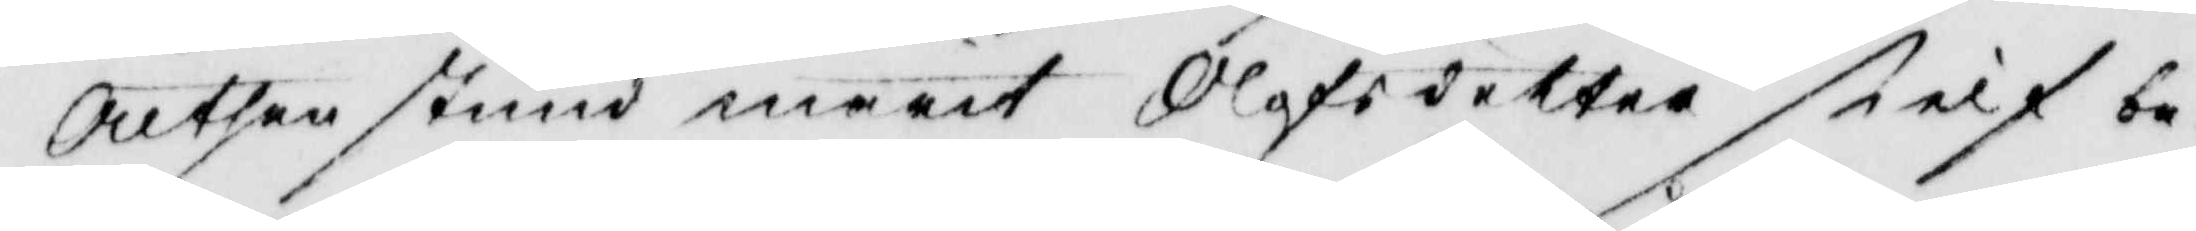Allthenstund marit Olofsdotter sielf be¬
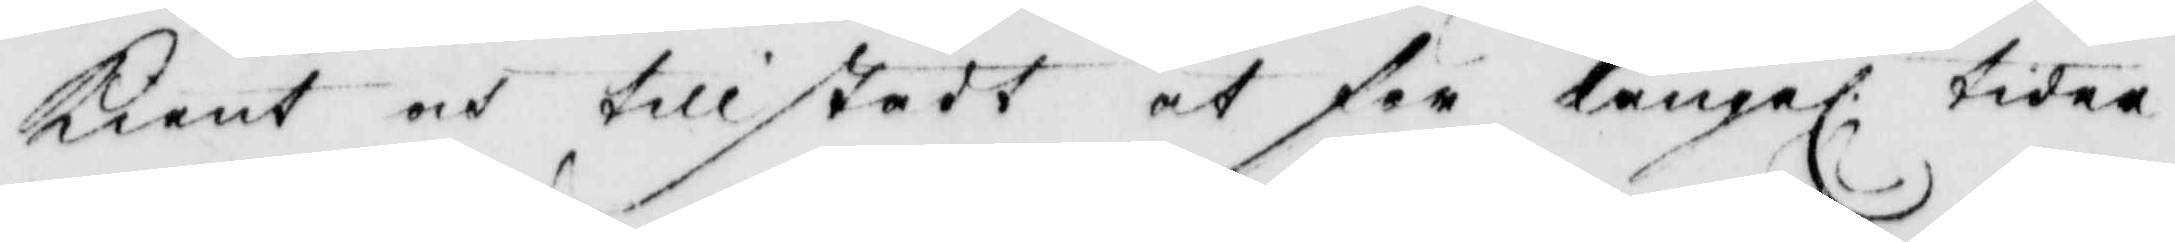kient och tillstådt at för långel. tider
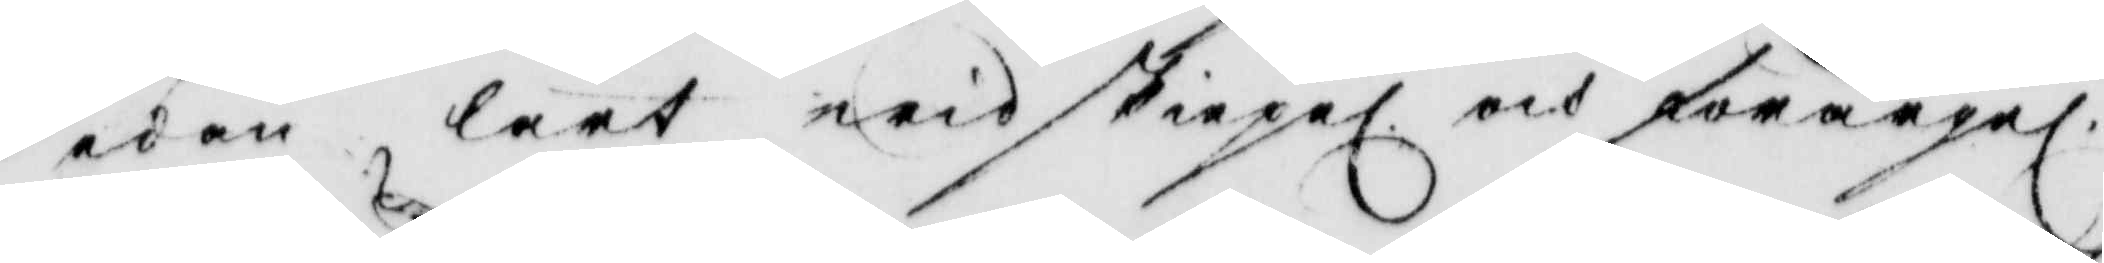sedan lärt widskiepel. och förargel.
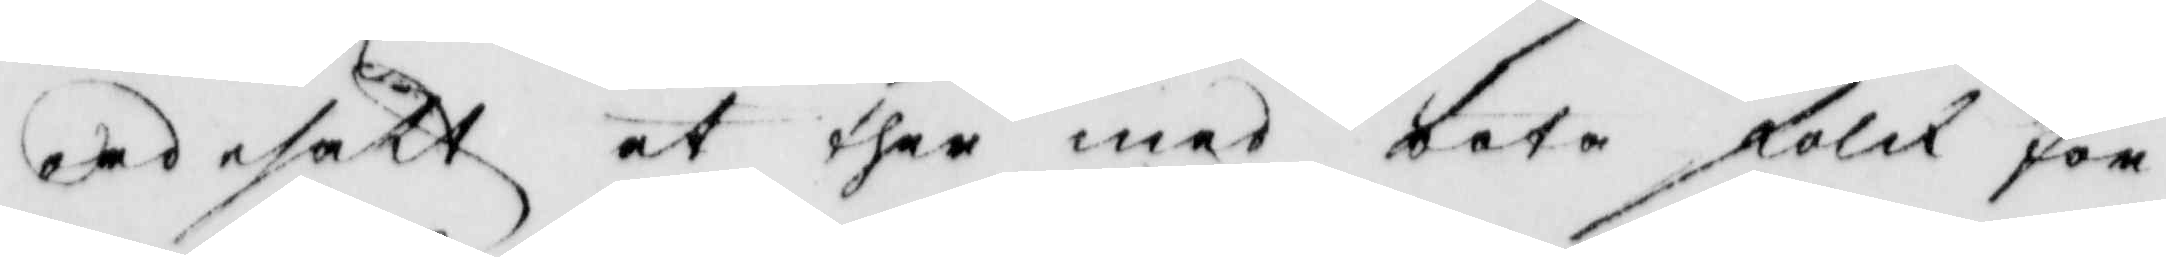ord esäkt at ther med bota folck för
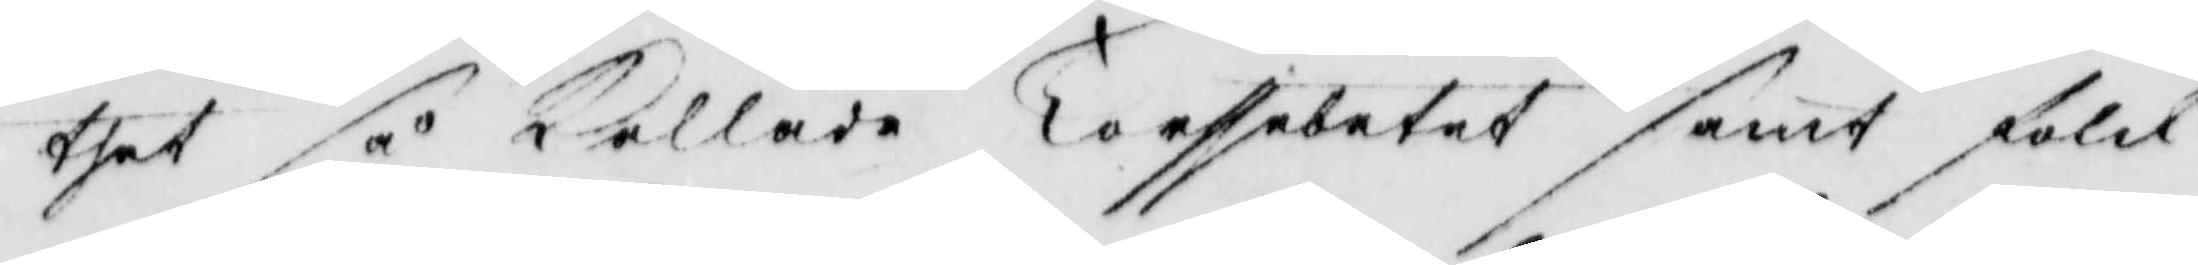thet så Kallade Torssebetet samt folck
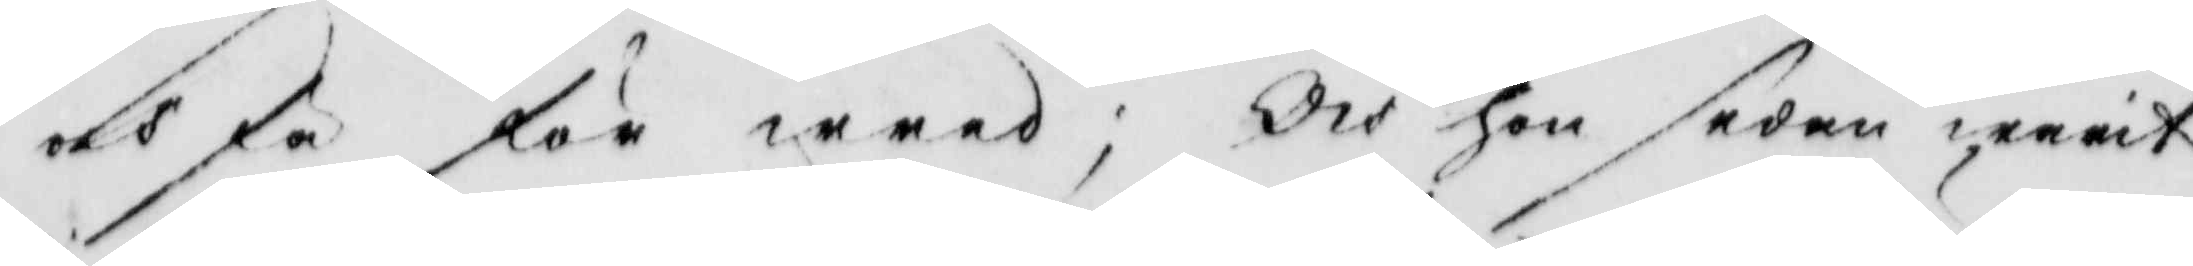och fä för wred; Och hon sedan warit
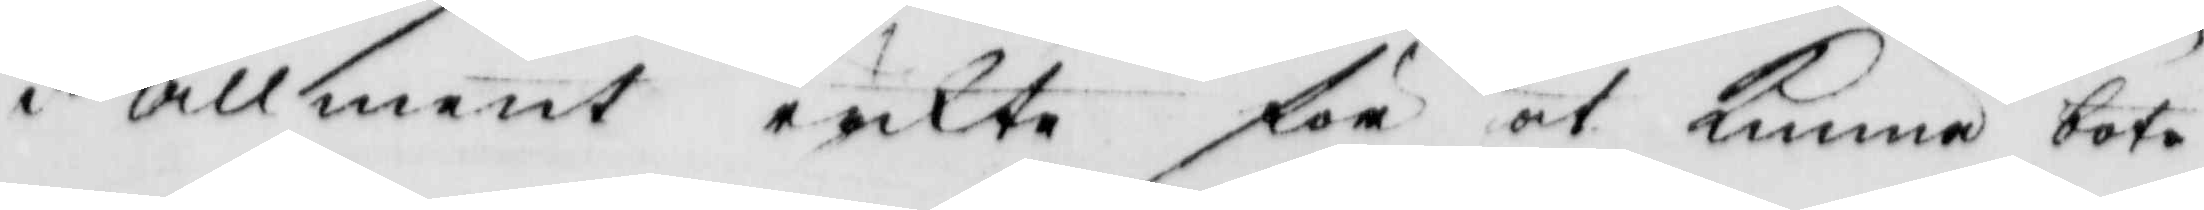i Allment ryckte för at Kunna bota
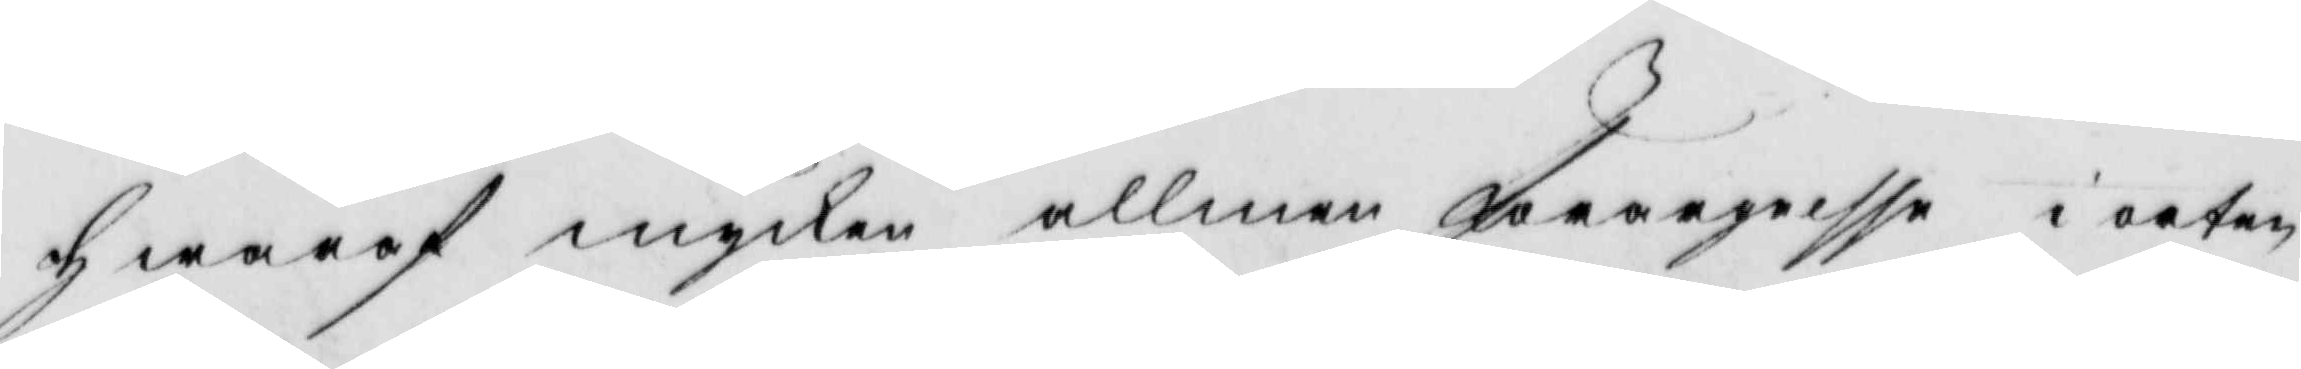hwaraf mycken allmen förargelsse i orten
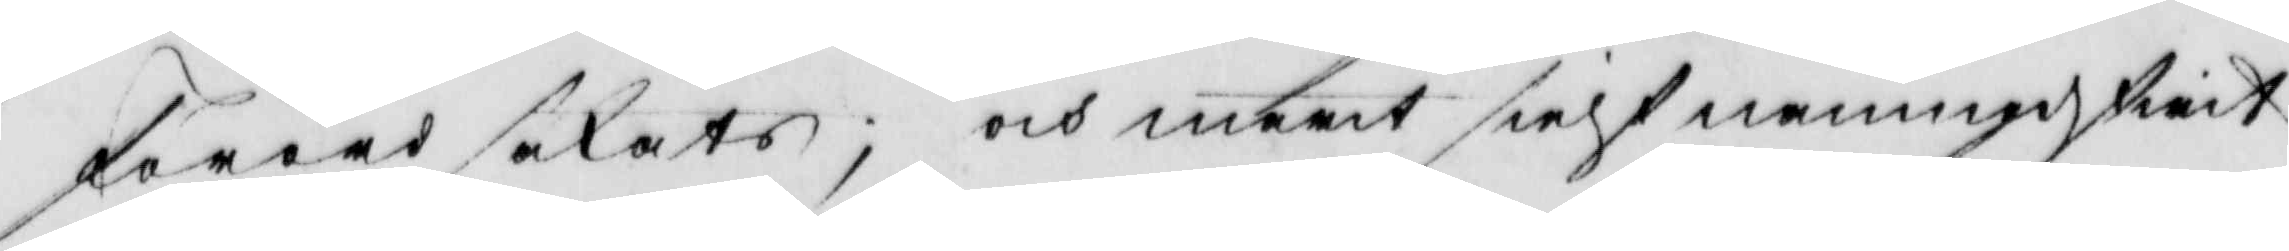förordsakats; och marit sielf namngifwit
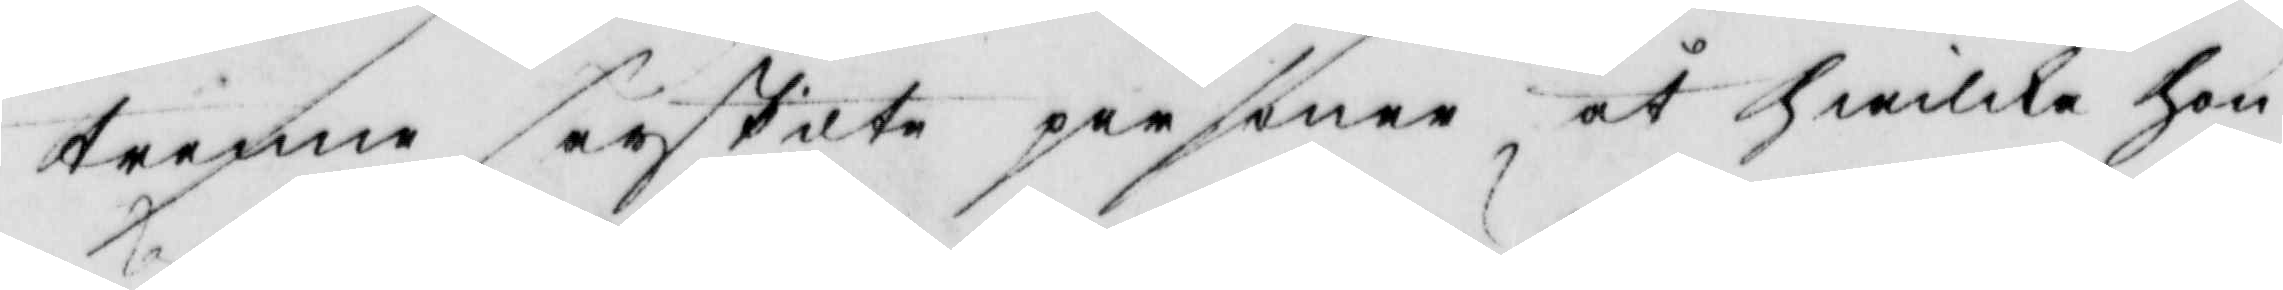trenne särskilte personer åt hwilka hon
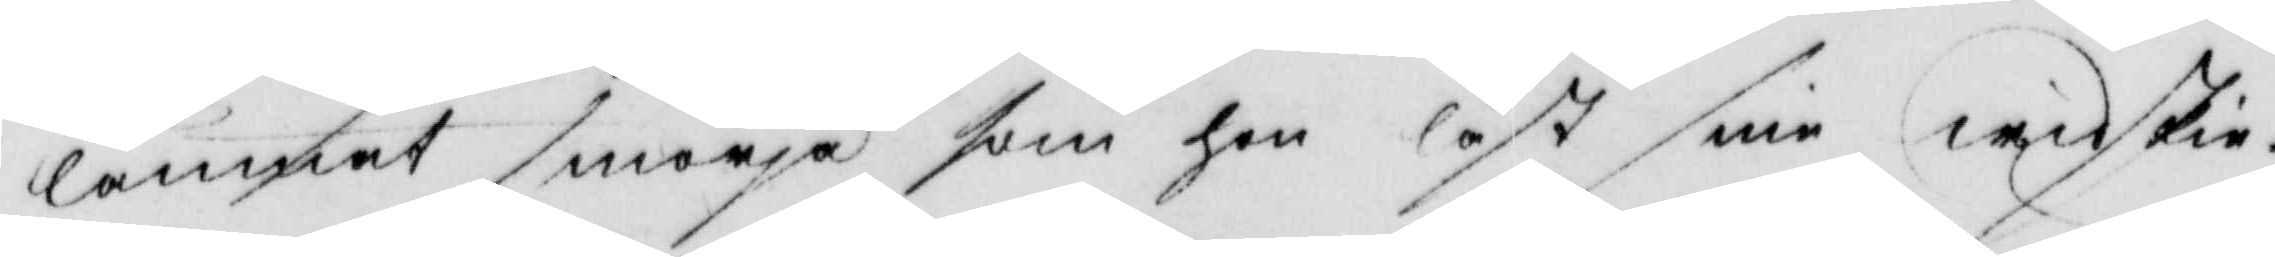lämnat smörja som hon läst sine widskie¬
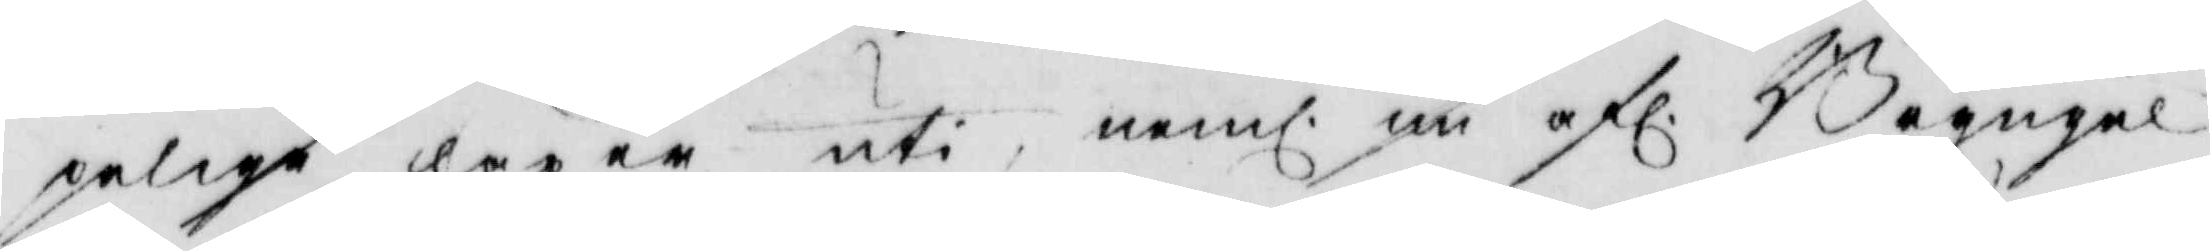pelige läxer uti, neml. nu afl. Bryngel
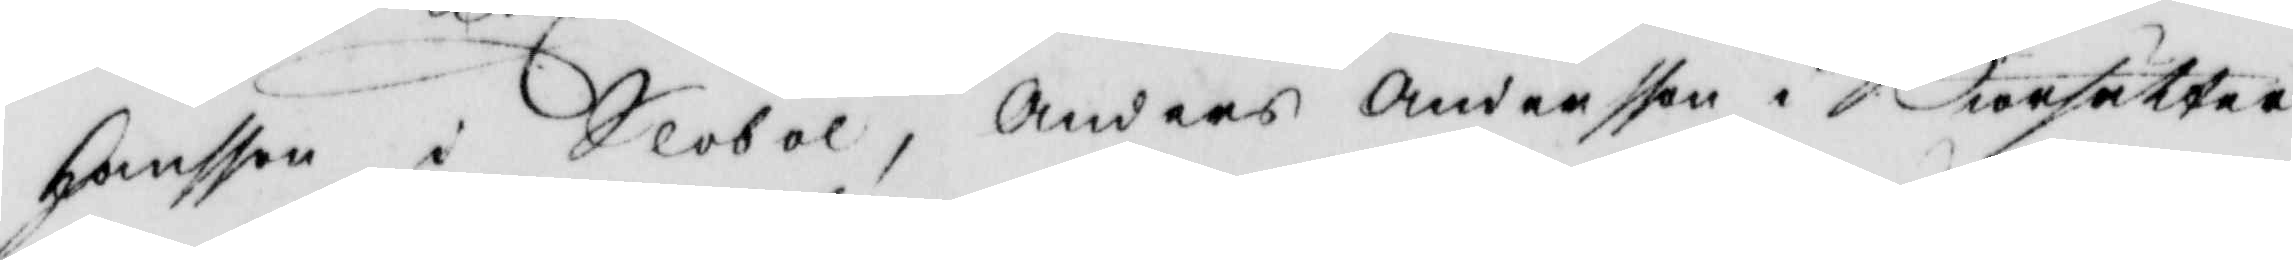Hansson i Slobol, Anders Andersson i Biörsätter
